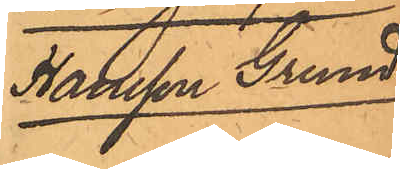Hansson Grund
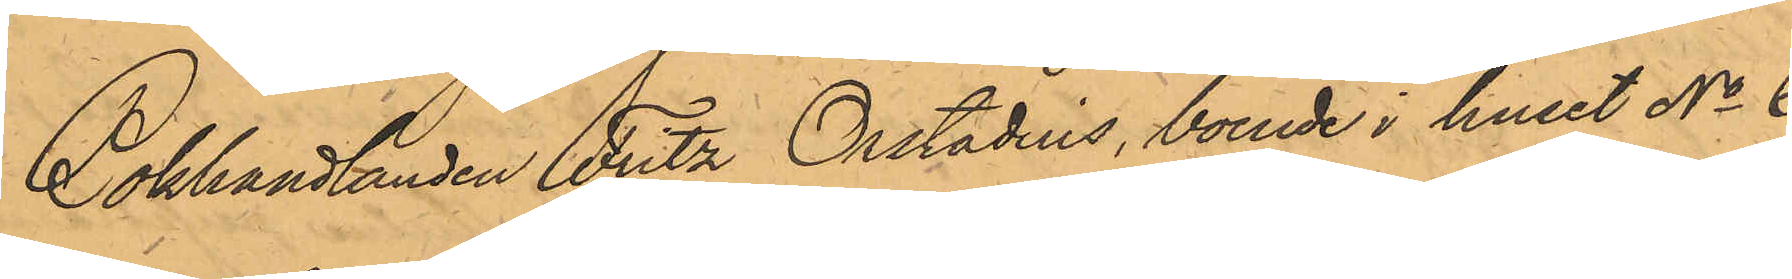Bokhandlanden Fritz Orstadius, boende i huset No 6
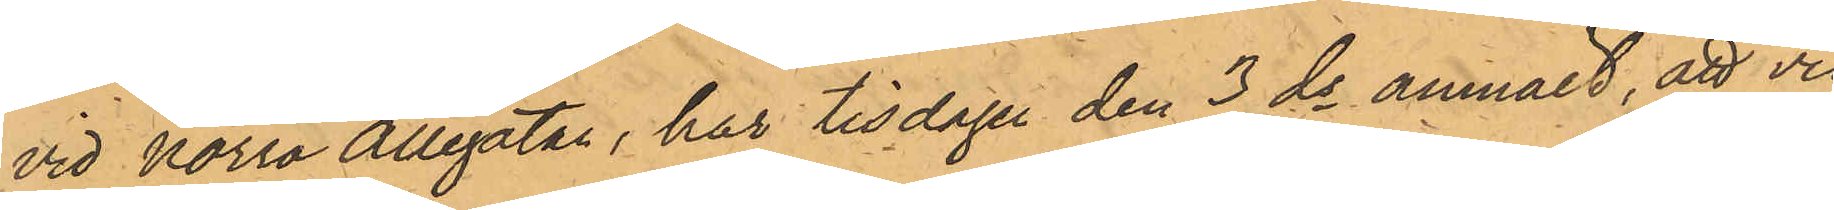vid Norra Allegatan, har tisdagen den 3 ds anmält, att vid
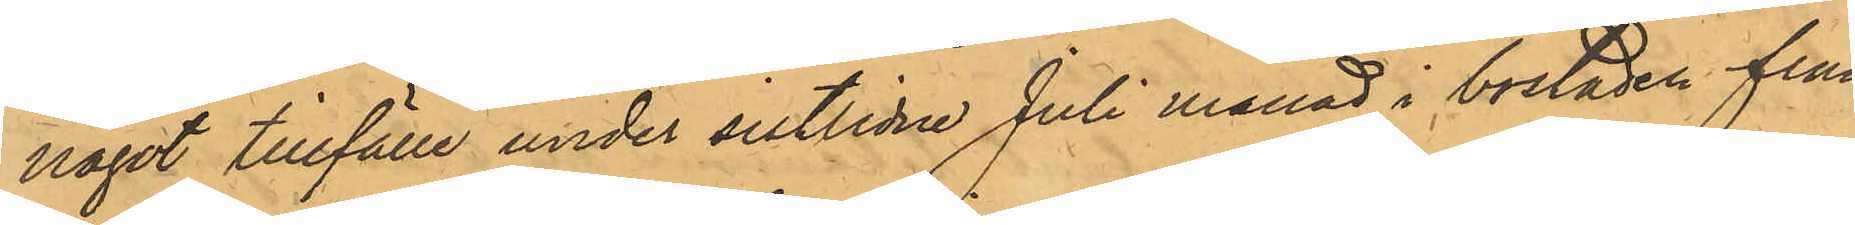något tillfälle under sistlidne Juli månad i bostaden från
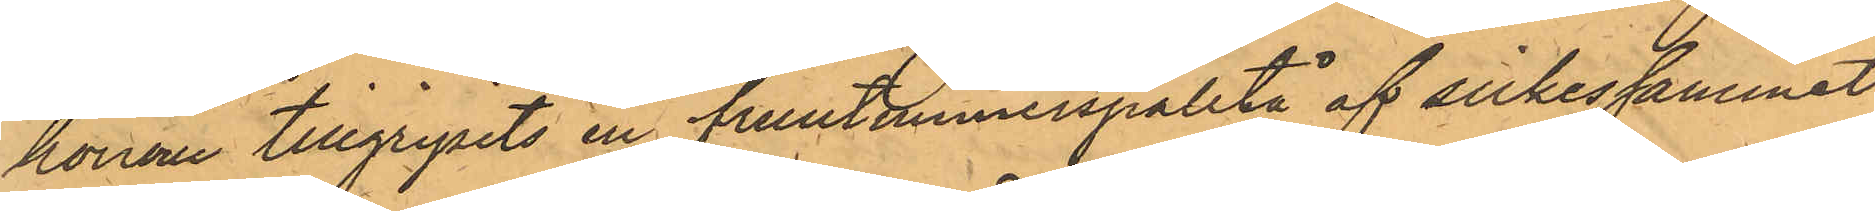honom tillgripits en fruntimmerspaletå af silkessammet,
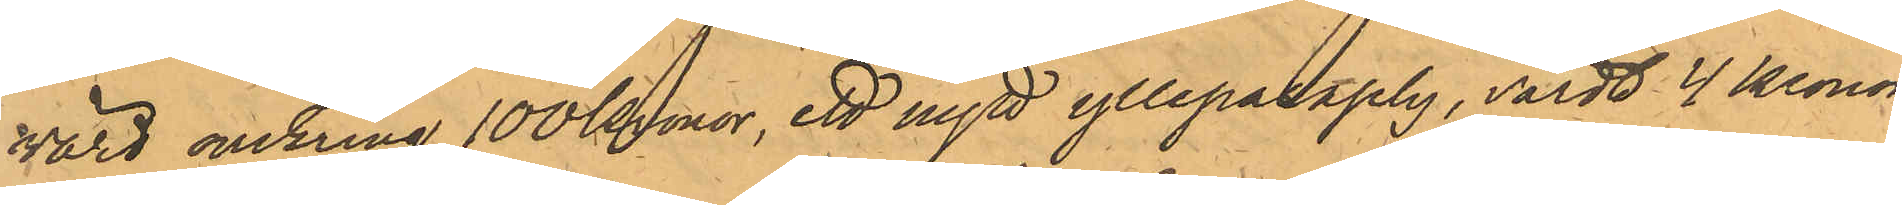värd omkring 100 Kronor, ett nytt ylleparaply, värdt 4 kronor
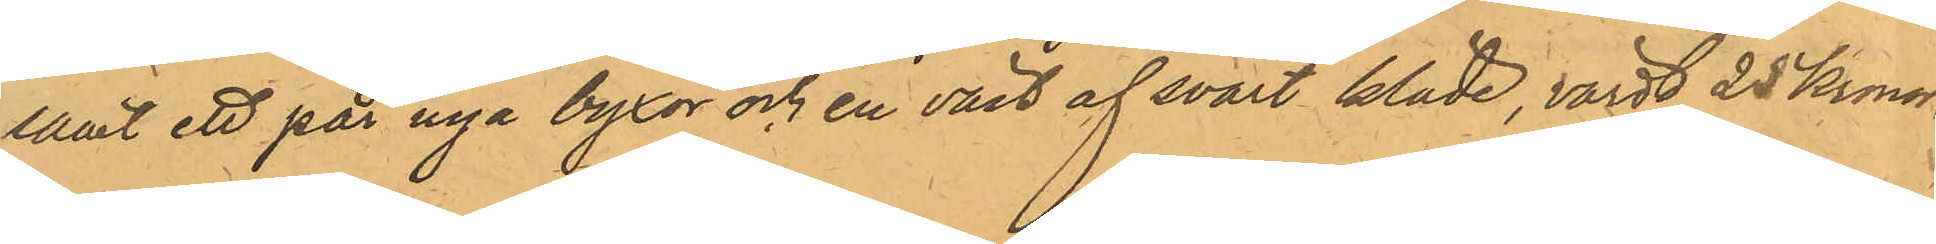samt ett par nya byxor och en väst af svart kläde, värdt 25 Kronor.
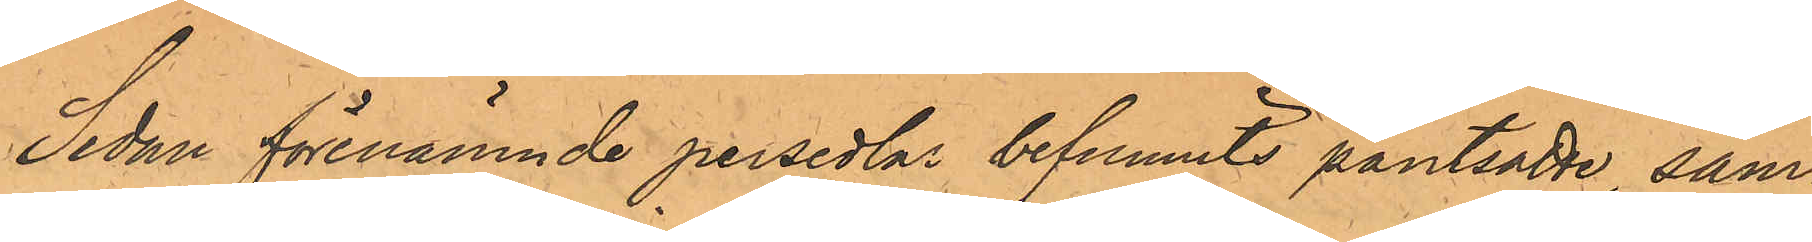Sedan förenämnde persedlar befunnits pantsatte, sam¬
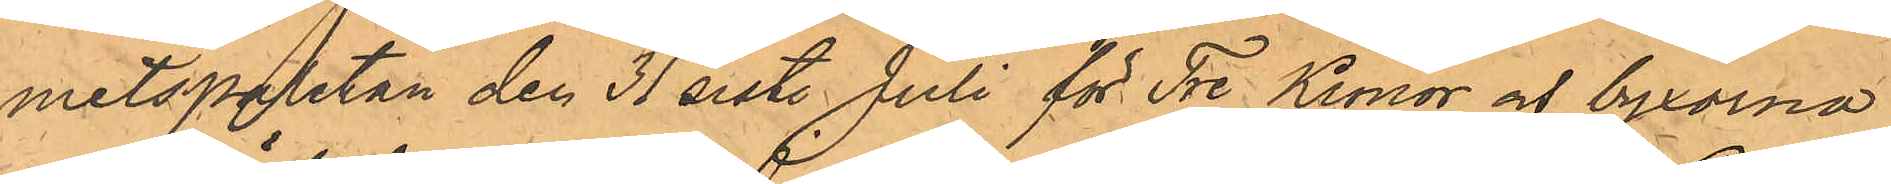metspaletån den 31 sist. Juli för Tre Kronor och byxorna
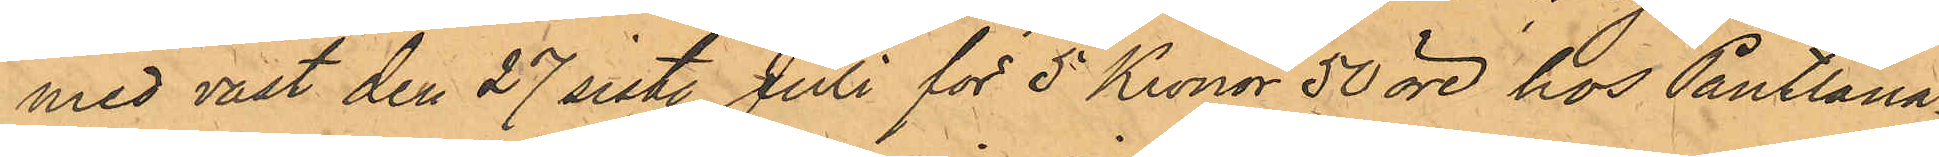med väst den 27 sist. Juli för 5 Kronor 50 öre hos Pantlåna¬
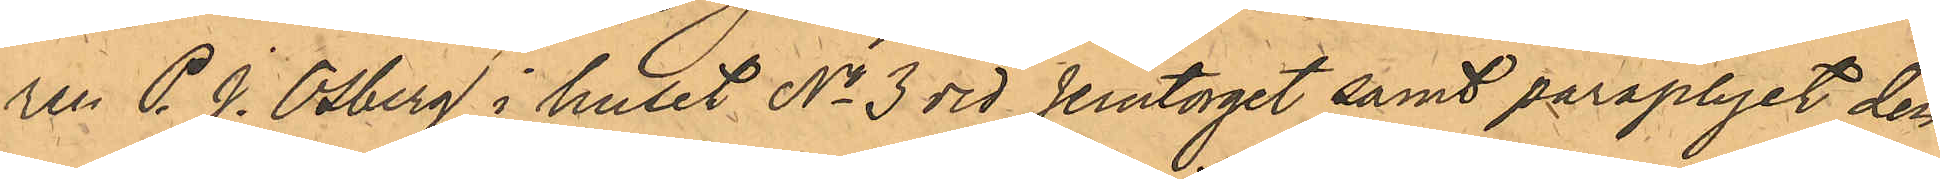ren P. J. Osberg i huset No 3 vid Jerntorget samt paraplyet den
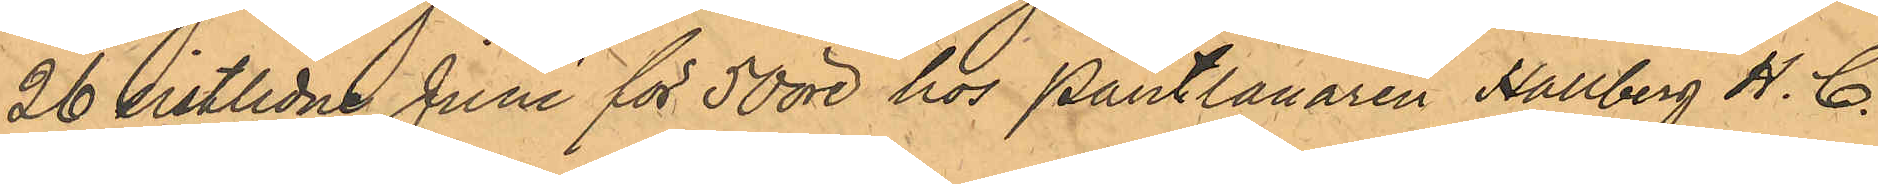26 sistlidne Juni för 50 öre hos Pantlånaren Hallberg H. C.
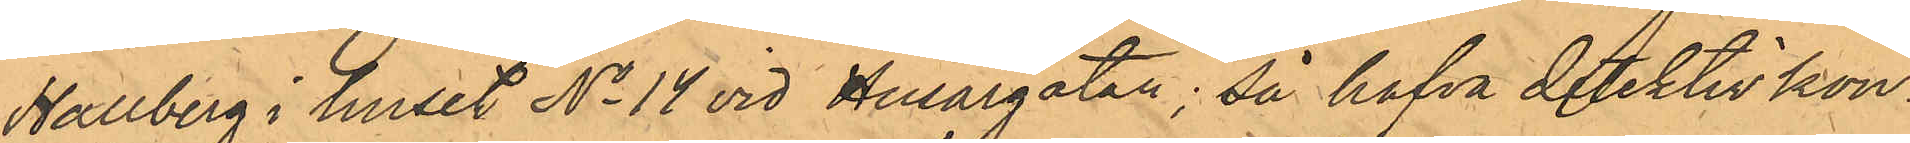Hallberg i huset No 14 vid Husargatan; så hafva Detektivkon¬
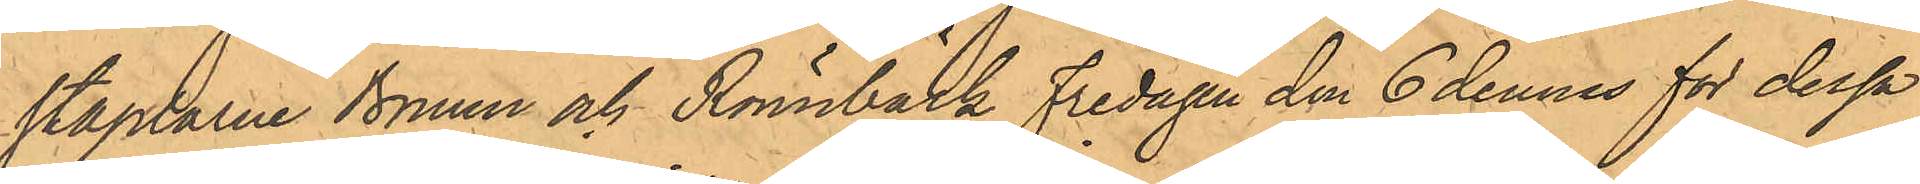staplarne Bruun och Rönnbäck Fredagen den 6 dennes för dessa
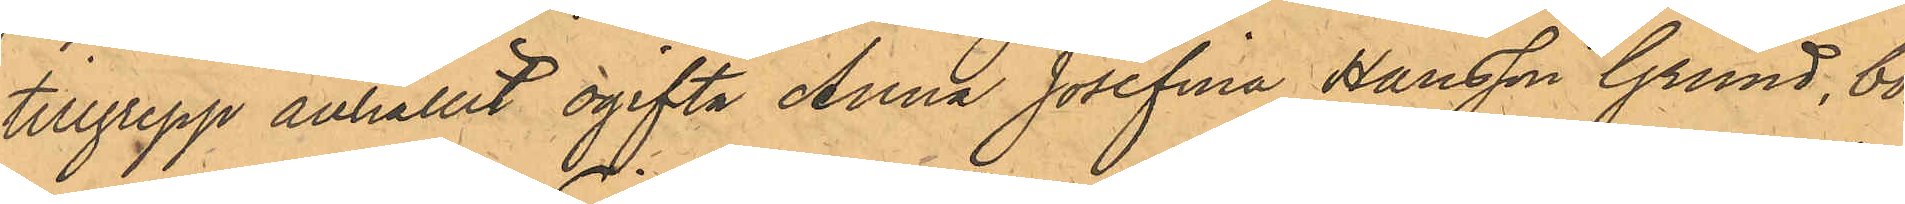tillgrepp anhållit ogifta Anna Josefina Hansson Grund, bo¬
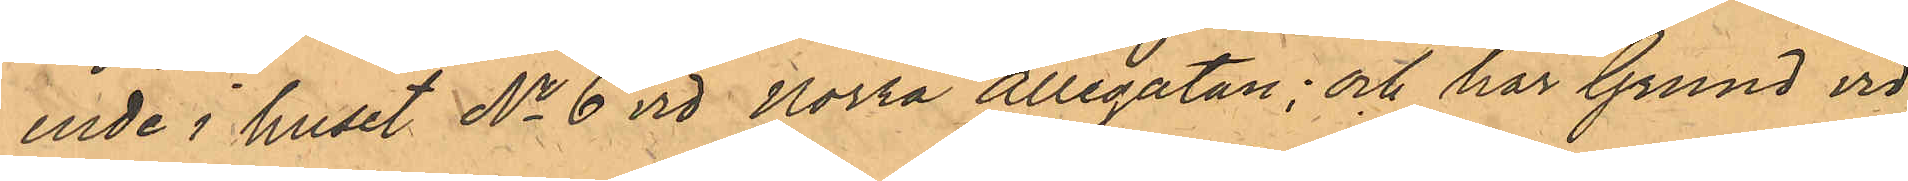ende i huset No 6 vid Norra Allégatan; och har Grund vid
